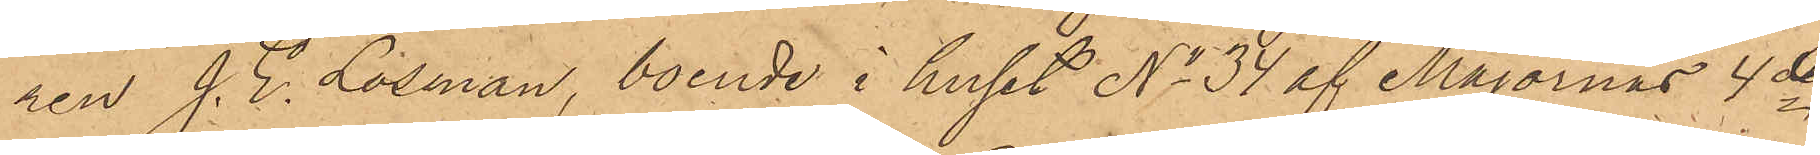ren J. E. Losman, boende i huset No 34 af Majornas 4de
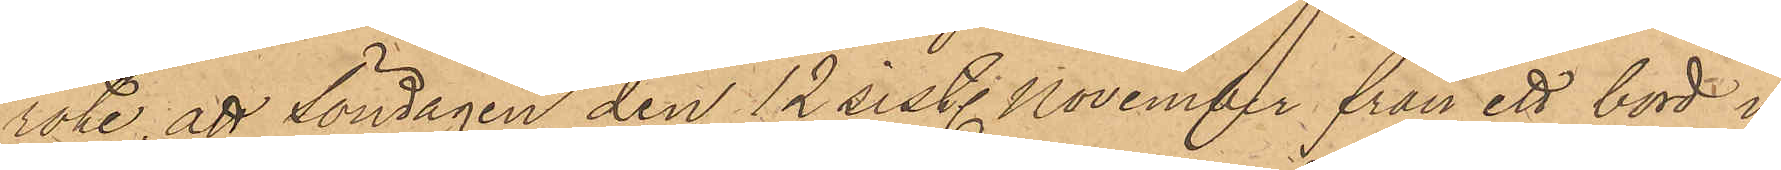rote, att Söndagen den 12 sist. November från ett bord i
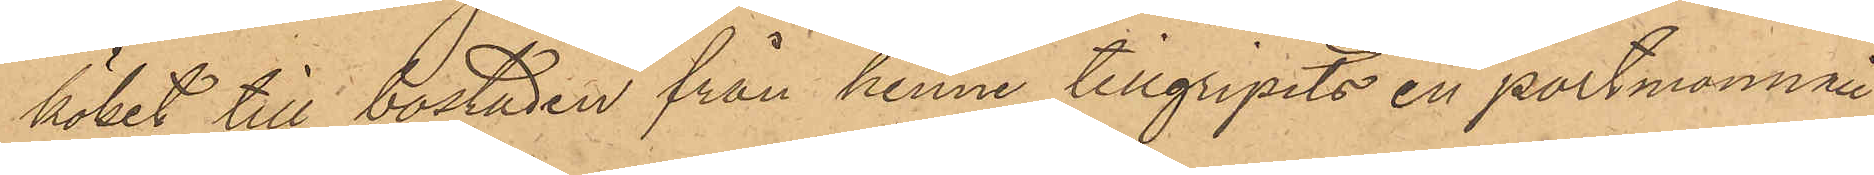köket till bostaden från henne tillgripits en portmonnaie
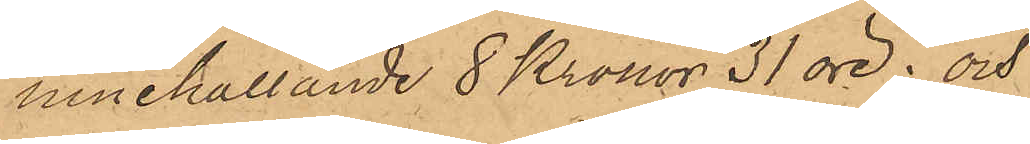innehållande 8 Kronor 31 öre; och
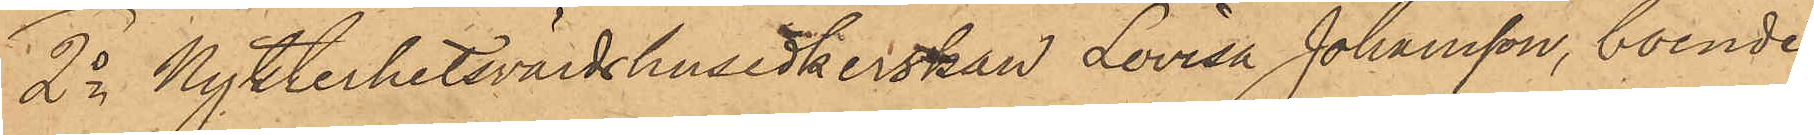2o Nykterhetsvärdshusidkerskan Lovisa Johansson, boende
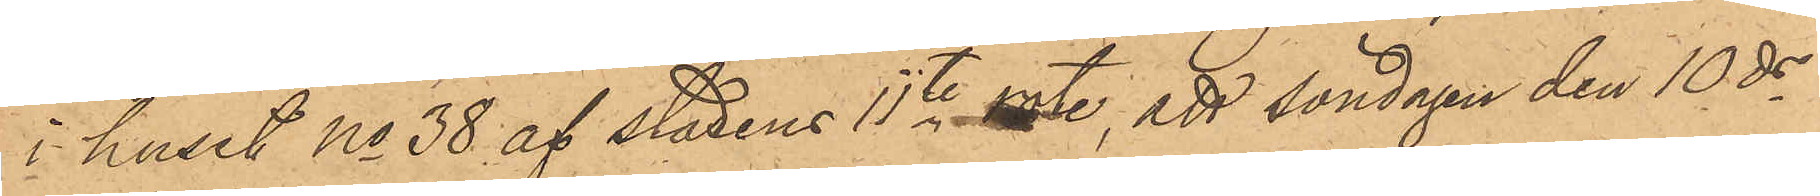i huset No 38 af stadens 11te rote, att söndagen den 10 ds
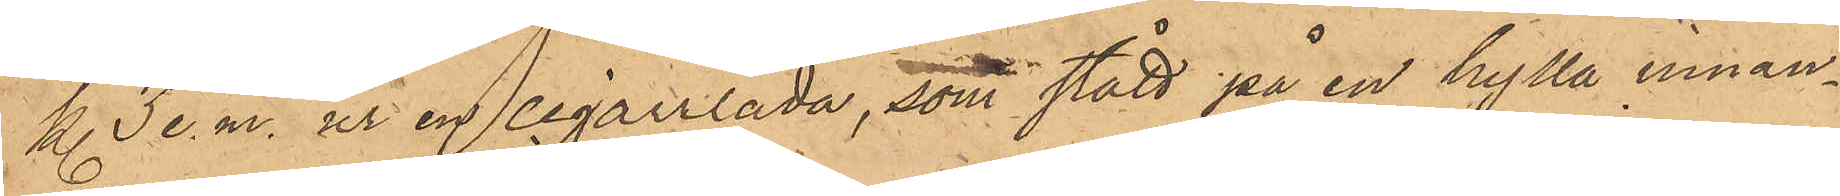kl. 3 e. m. ur en cigarrlåda, som stått på en hylla innan¬
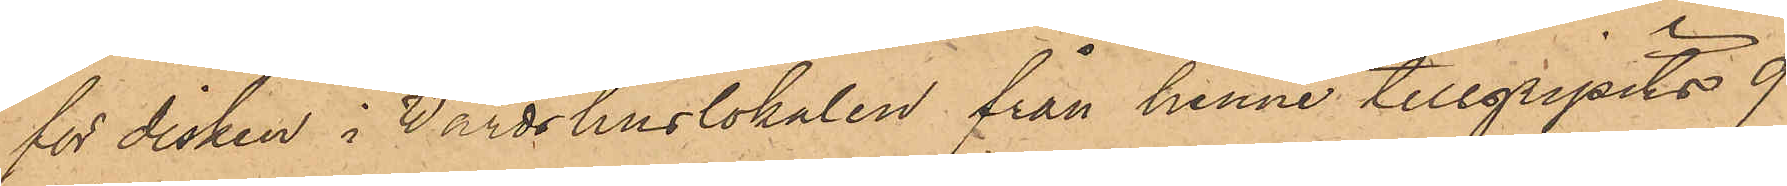för disken i Värdshuslokalen från henne tillgripits 9
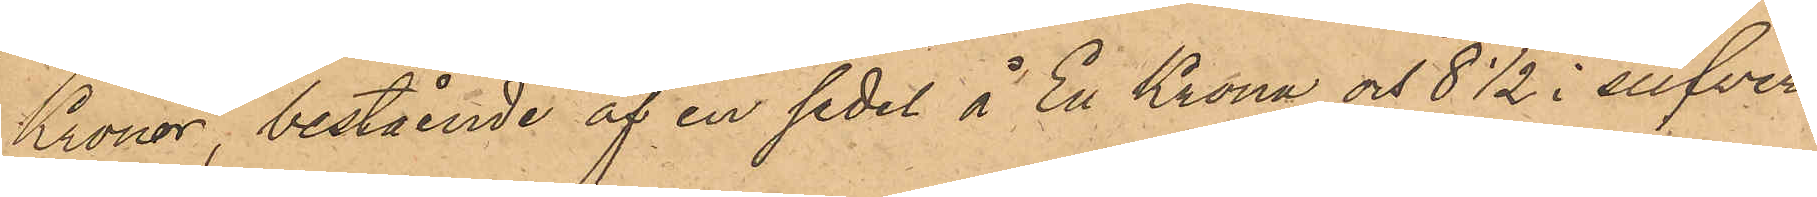Kronor, bestående af en sedel å En Krona och 8½ i silfver¬
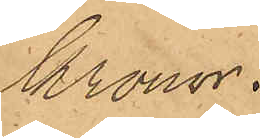Kronor.
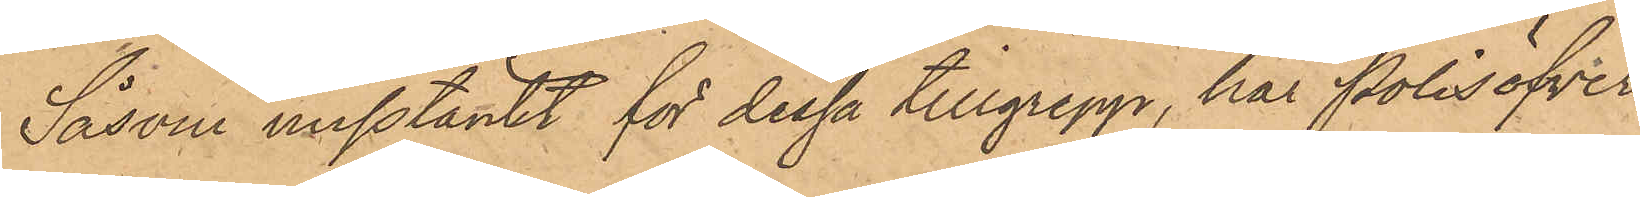Såsom misstänkt för dessa tillgrepp, har Polisöfver¬
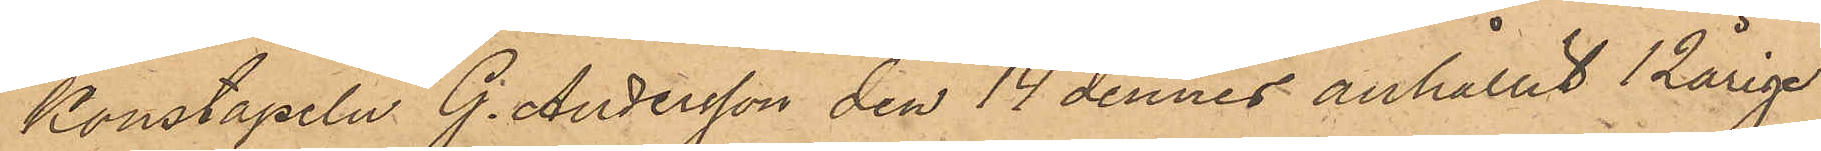Konstapeln G. Andersson den 14 dennes anhållit 12årige
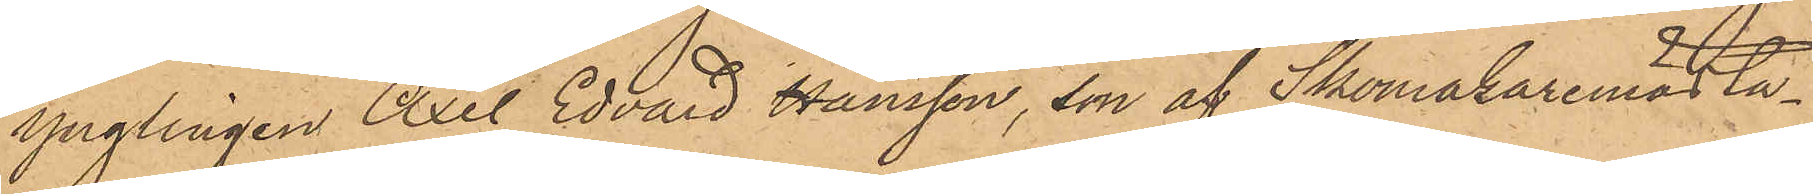ynglingen Axel Edvard Hansson, son af Skomakaremästa¬
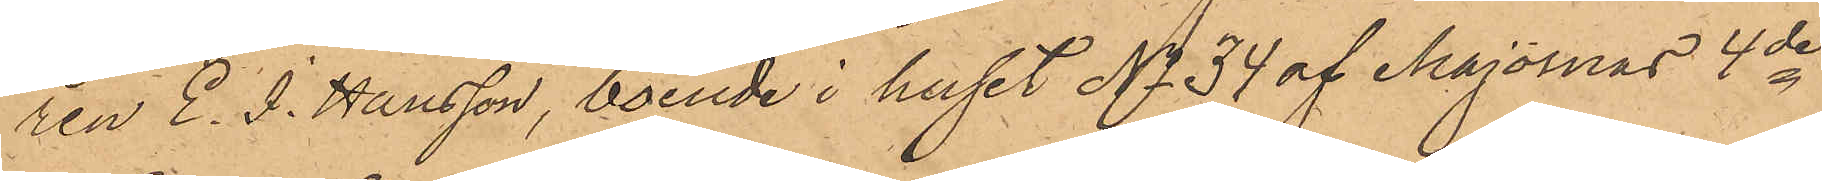ren E. J. Hansson, boende i huset No 34 af Majornas 4de
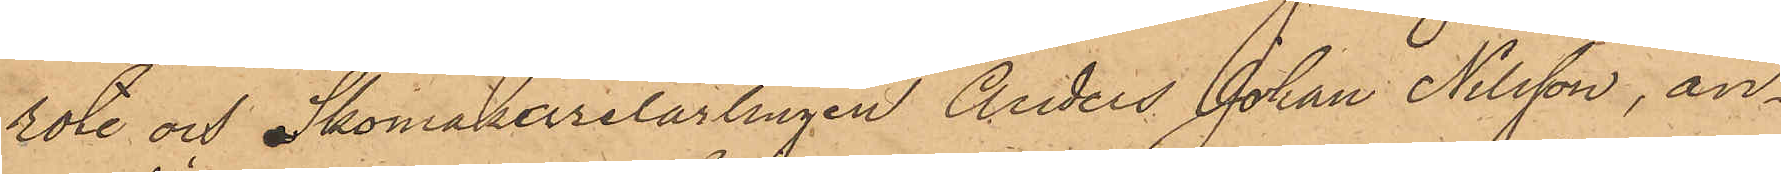rote och Skomakerelärlingen Anders Johan Nilsson, an¬
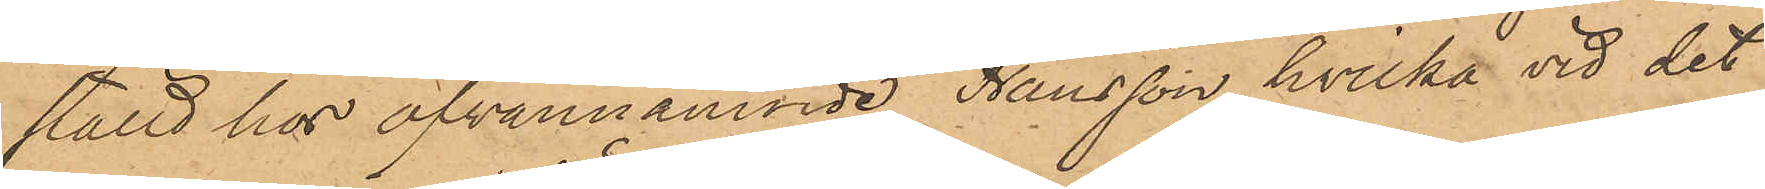ställd hos ofvannämnde Hansson, hvilka vid det
